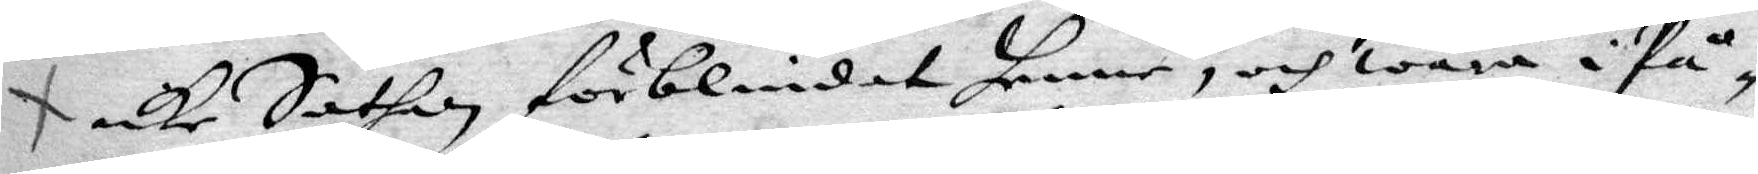icke Sathan förblindat henne, och wara i På¬
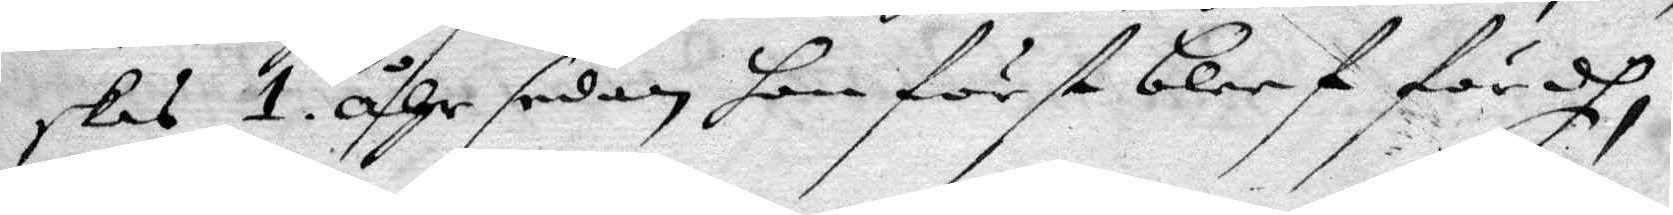skas 1. åhr sedan hon först bleef fördh,
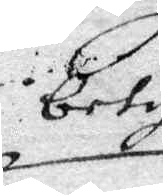betyg
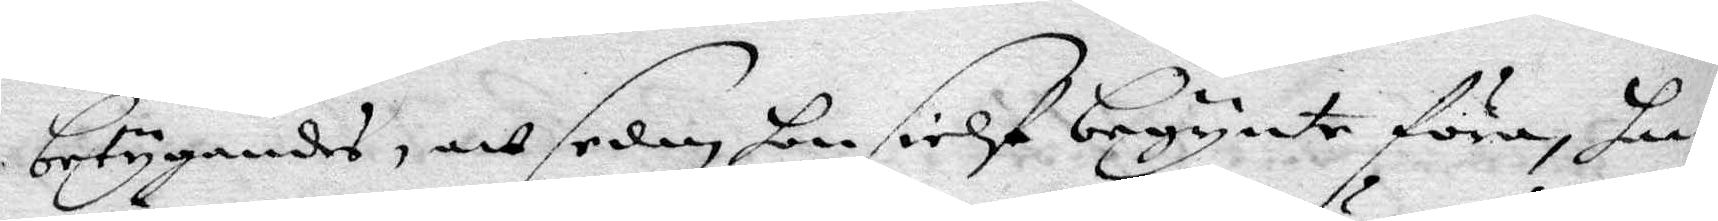betygandes, att sedan hon sielf begynte föra, haar
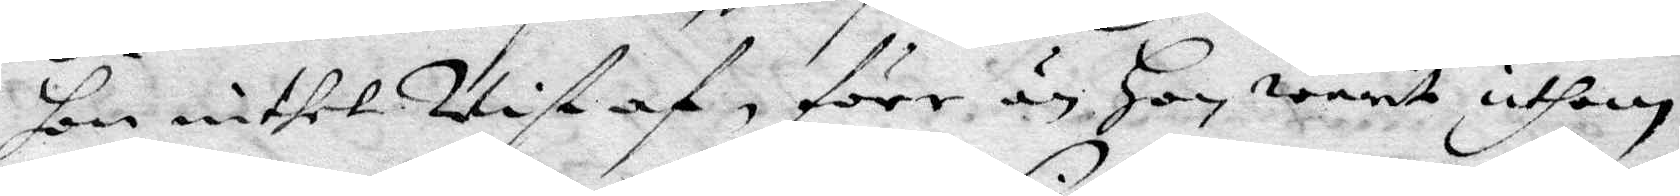hon intet wist af, förr än Hon warit uthan
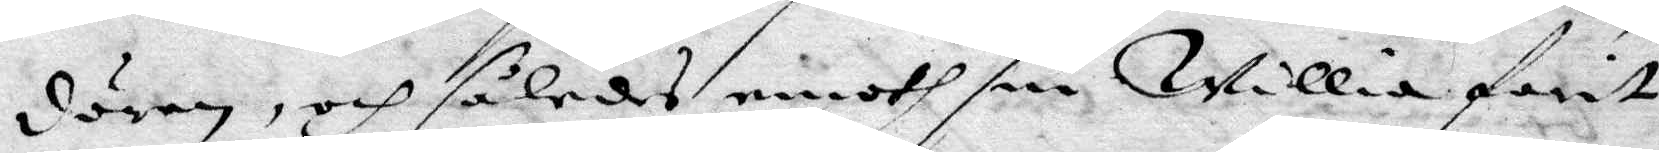dören, och således emoth sin willia farit
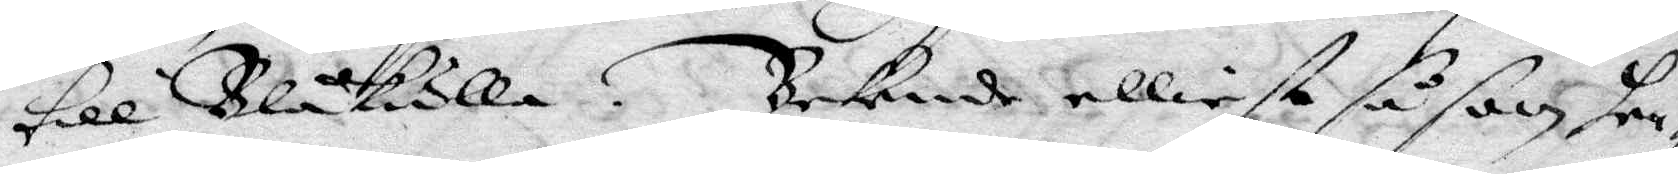till Blåkulla. Bekende elliest såsom hen¬
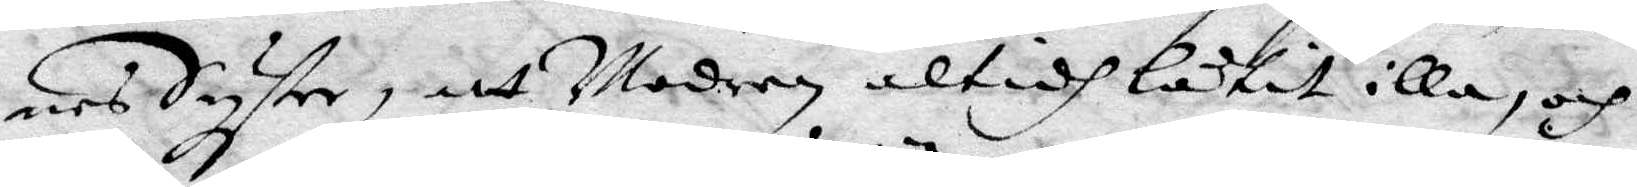nes Syster, att Modern altidh låtit illa, och
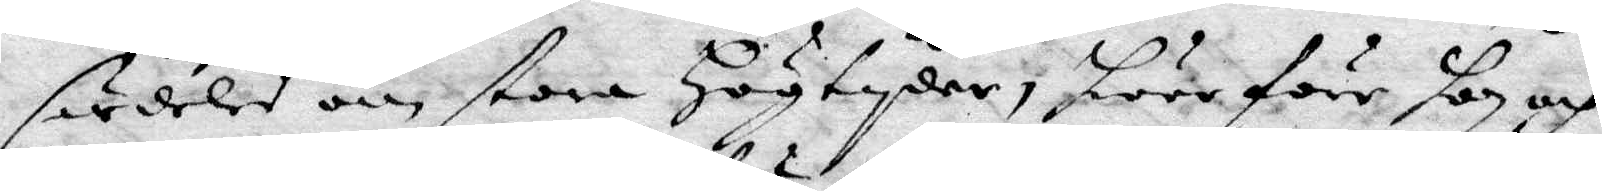särdeles om stora Högtyder, hwarföre hon och
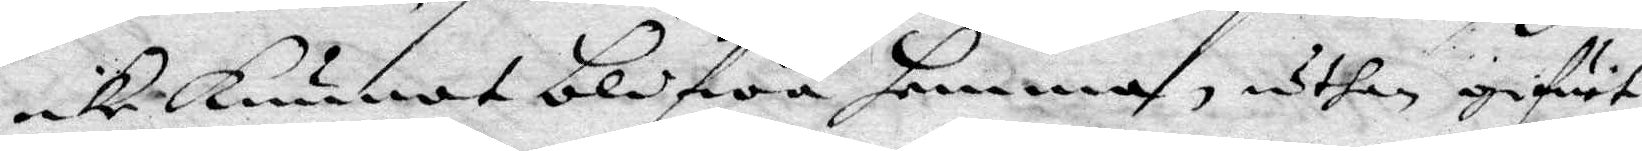icke kunnat blifwa hemma, uthan gifwet
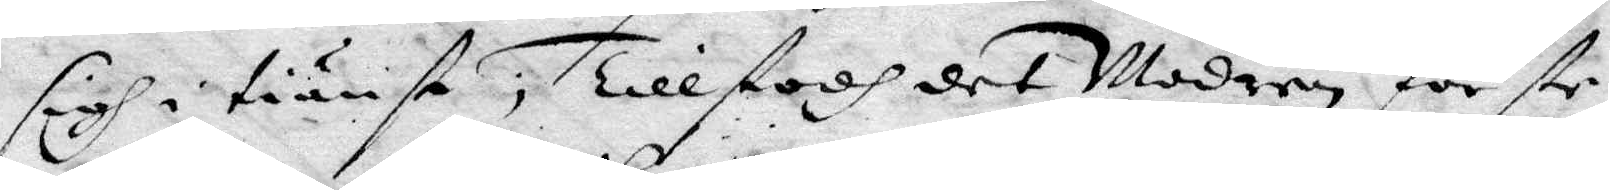sigh i tiänst, Tillstodh det Modren förste
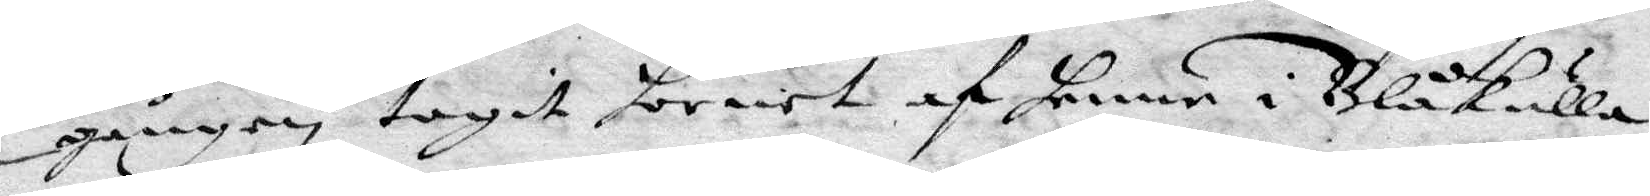gången tagit hornet af henne i Blåkulla
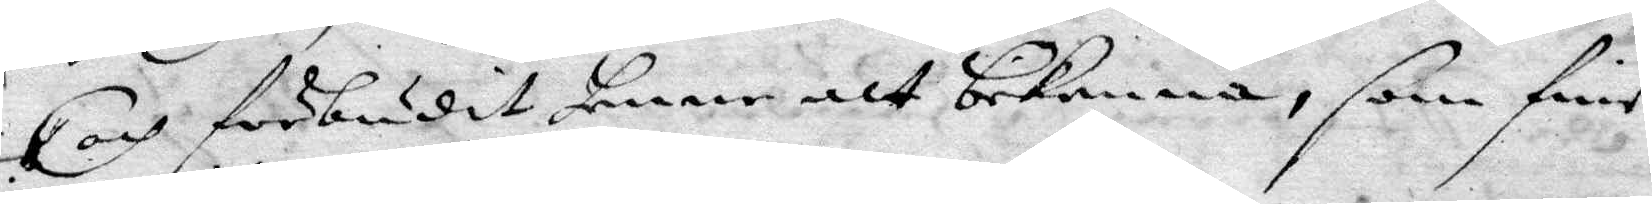och förbudit henne att bekenna, som fins
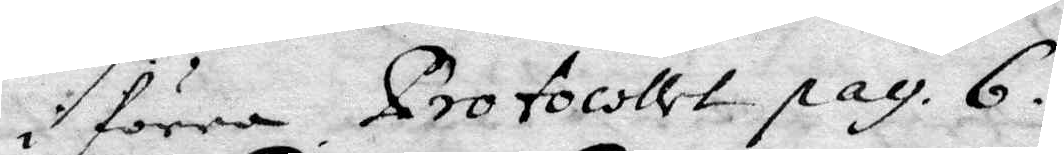i förra protocollet pag. 6.
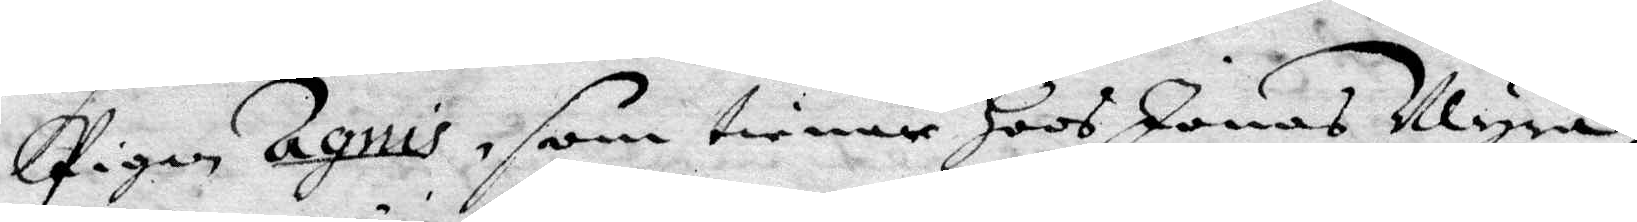Pigan Agnis, som tienar Hoos Jonas Myra
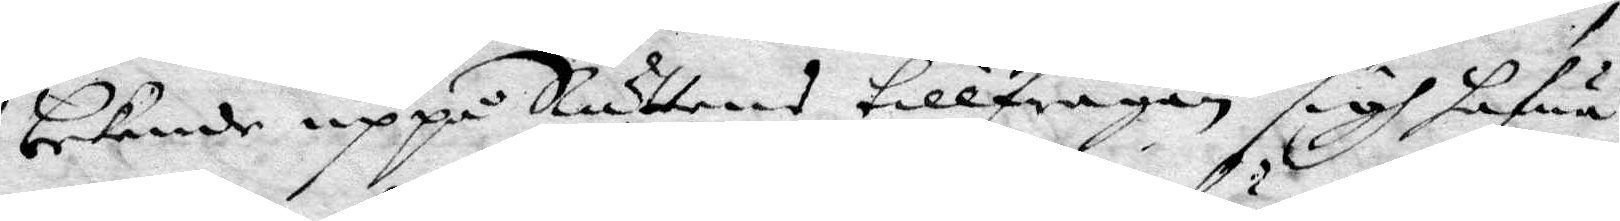bekende uppå Rättens tillfrågan sig hafua
